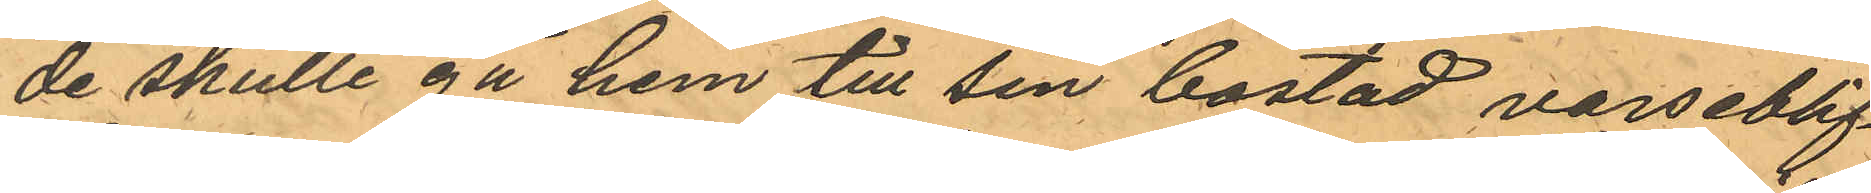de skulle gå hem till sin bostad varseblif¬
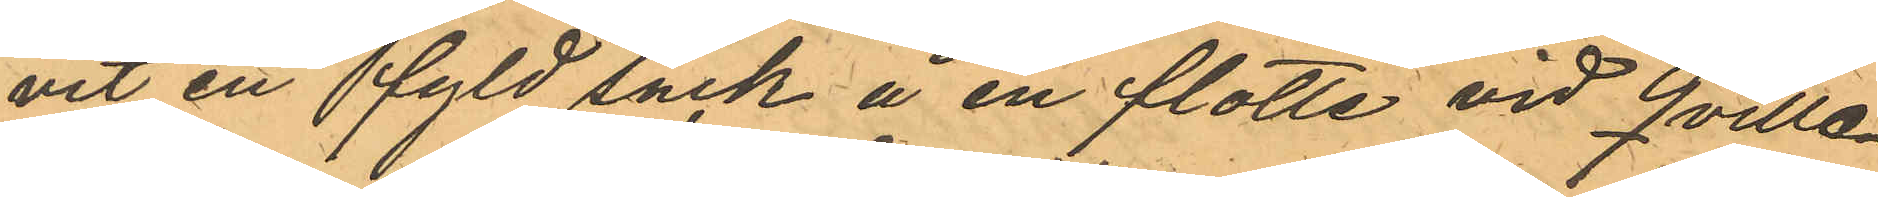vit en fyld säck å en flotte vid Qville¬
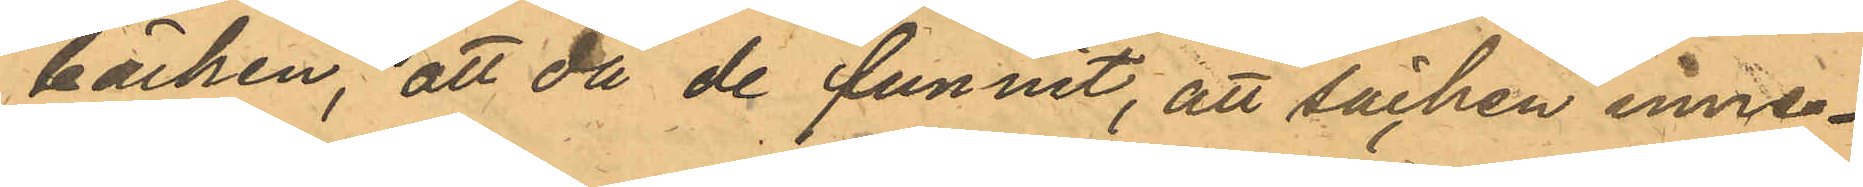bäcken, att då de funnit, att säcken inne¬
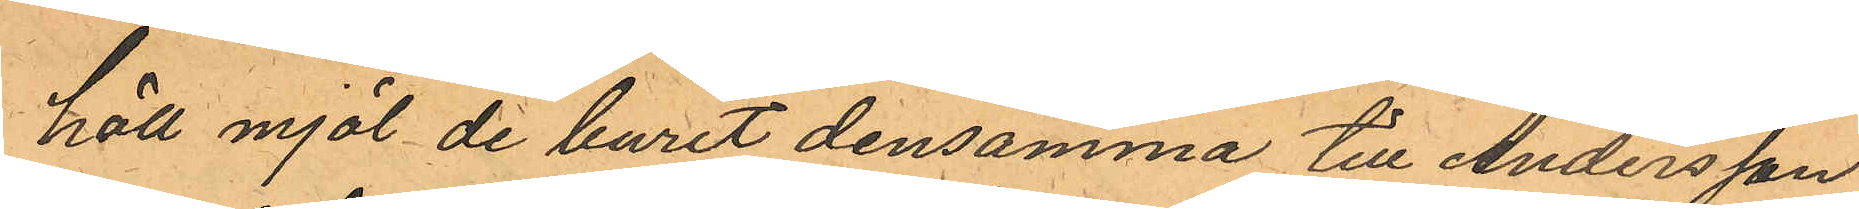höll mjöl de burit densamma till Andersson,
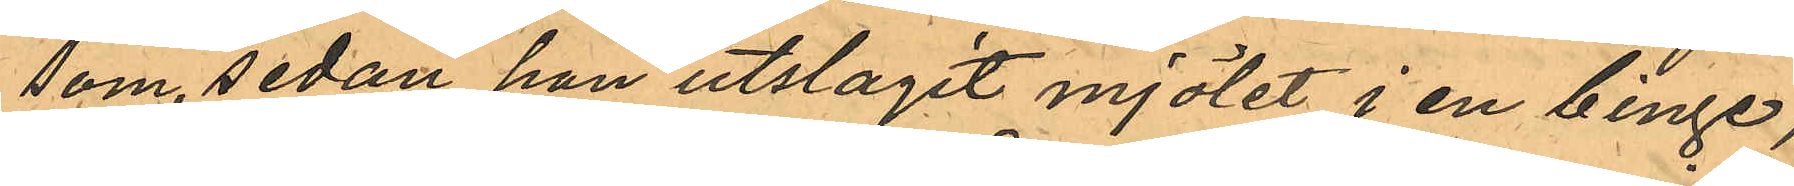som, sedan han utslagit mjölet i en binge,
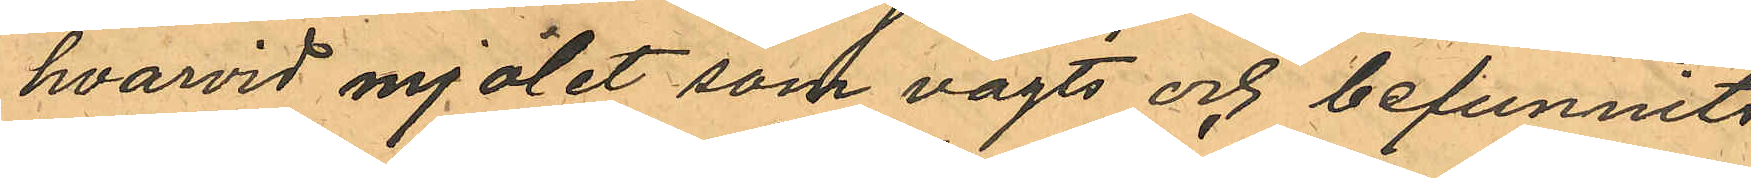hvarvid mjölet som vägts och befunnits
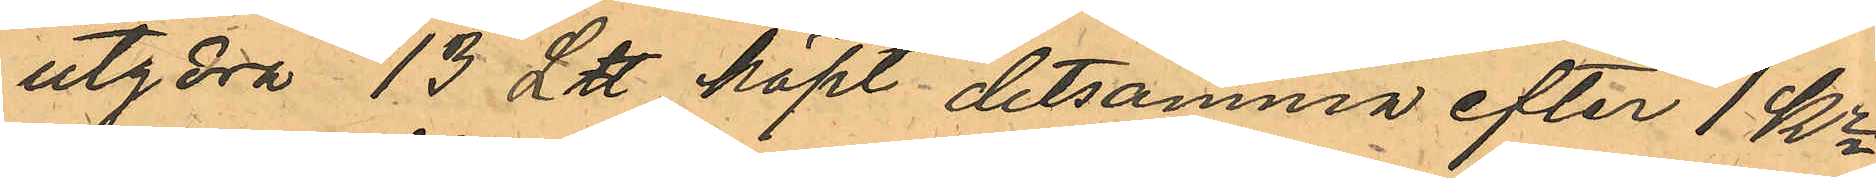utgöra 13 L℔, köpt detsamma efter 1 Kr
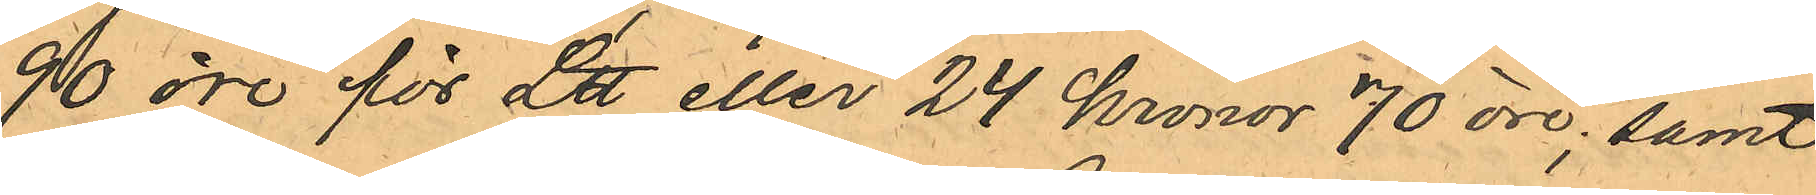90 öre för L℔ eller 24 kronor 70 öre; samt
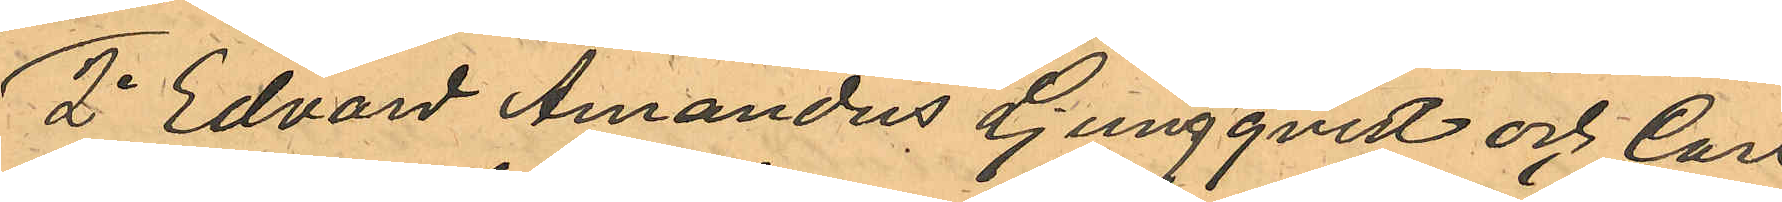2o Edvard Amandus Ljungqvist och Carl
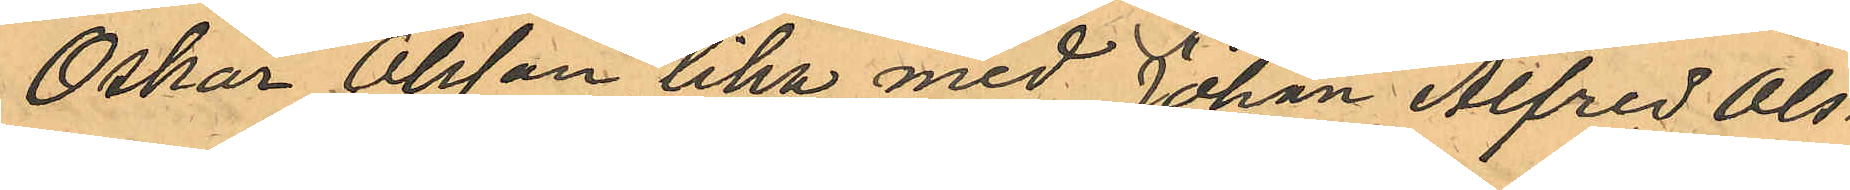Oskar Olsson lika med Johan Alfred Ols¬
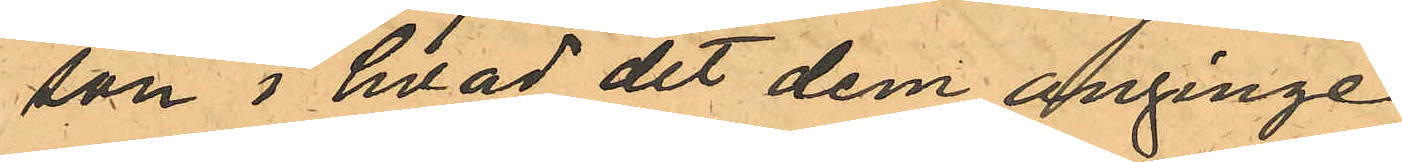son i hvad det dem anginge.
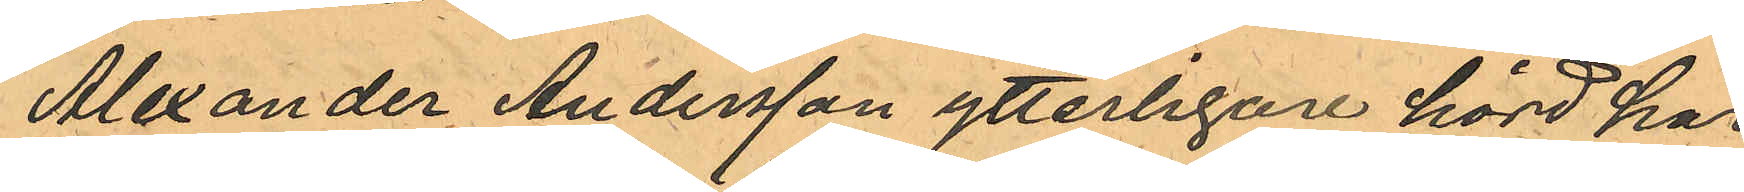Alexander Andersson ytterligare hörd har
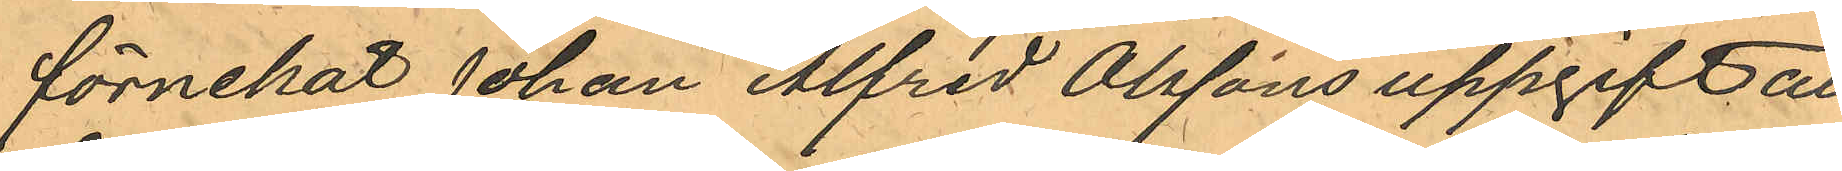förnekat Johan Alfred Olssons uppgift att
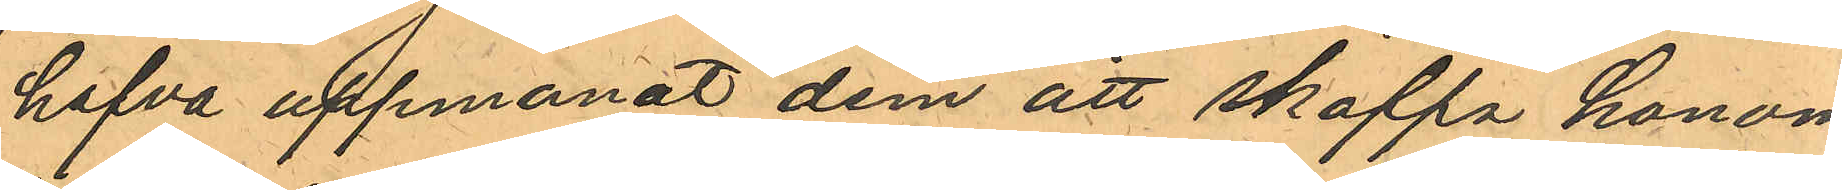hafva uppmanat dem att skaffa honom
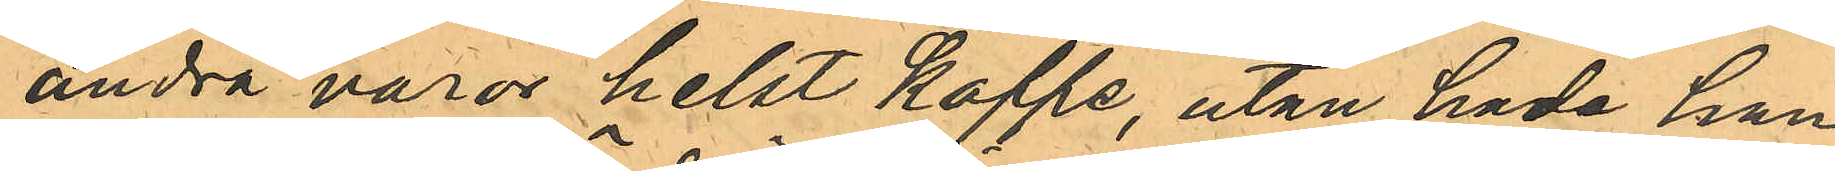andra varor helst Kaffe, utan hade han
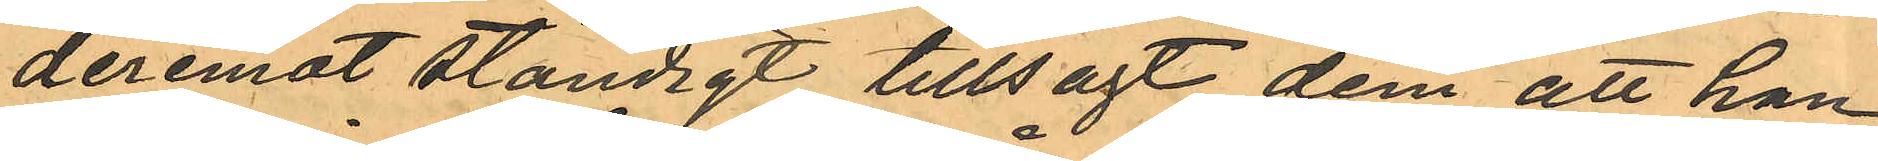deremot ständigt tillsagt dem att han
